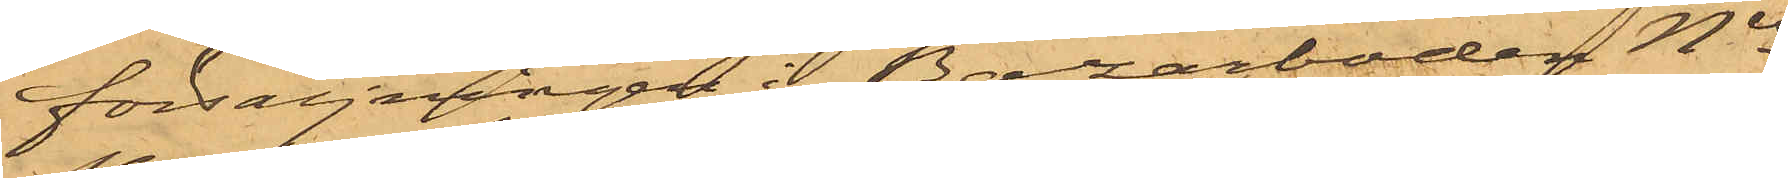försäljningen i Bazarboden Nis
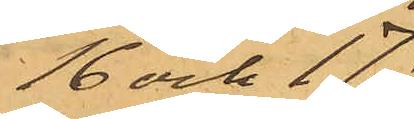16 och 17,
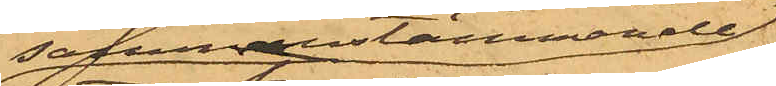sammanstämmande
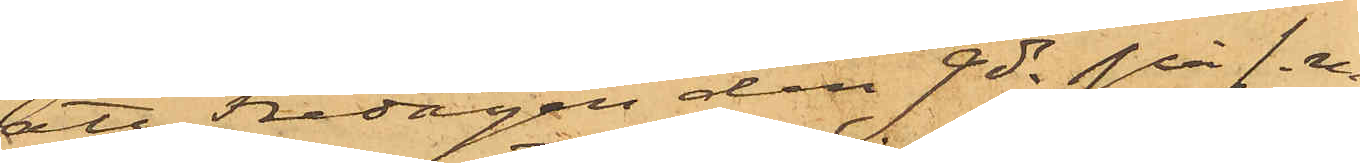att Fredagen den 9 ds på f.m
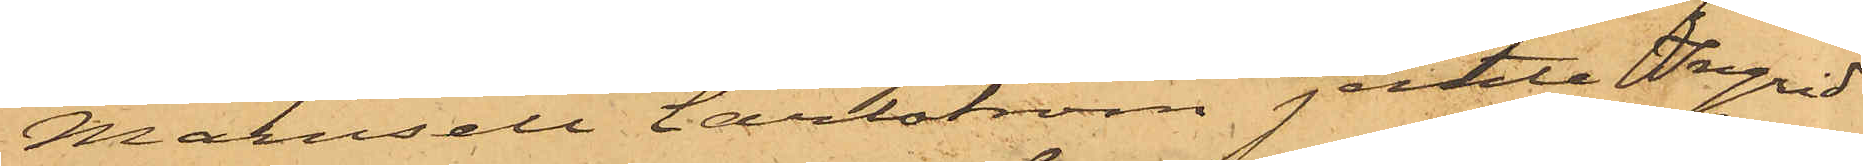Mamsell Carlström jemte Ingrid
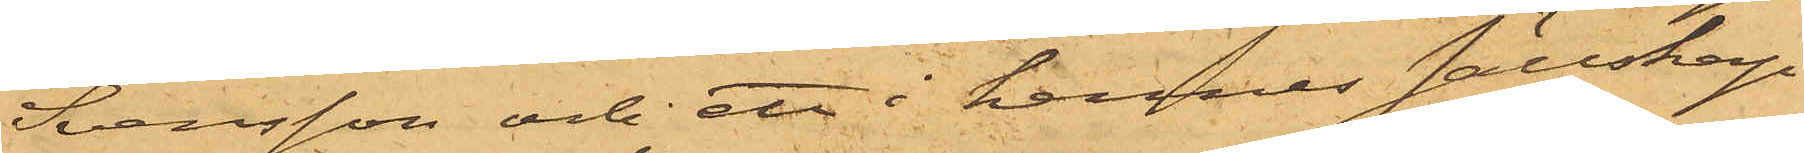Svensson och ett i hennes sällskap
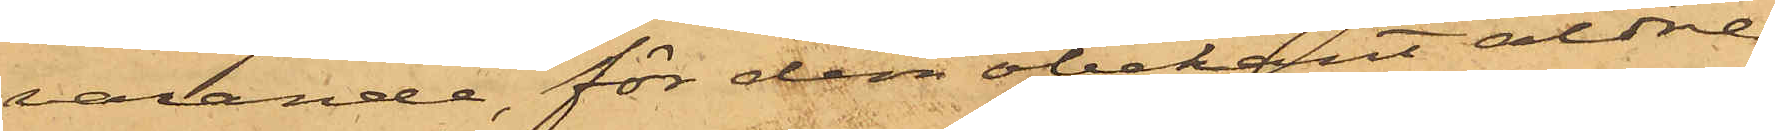varande, för dem obekant äldre
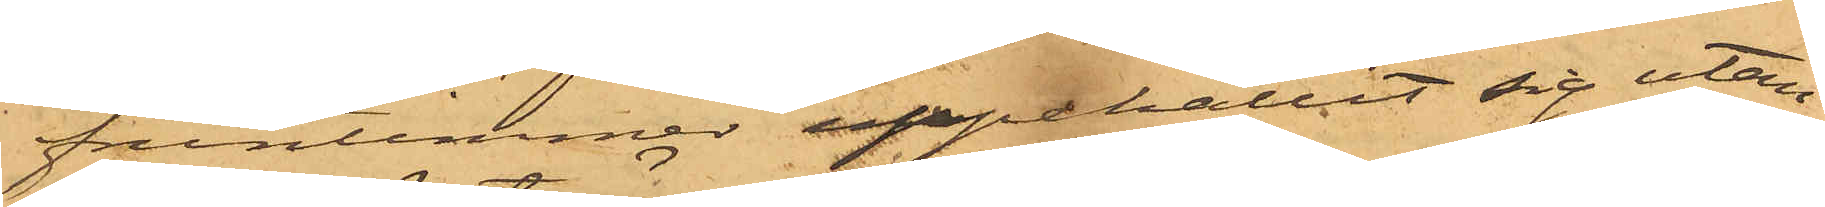fruntimmer uppehållit sig utan¬
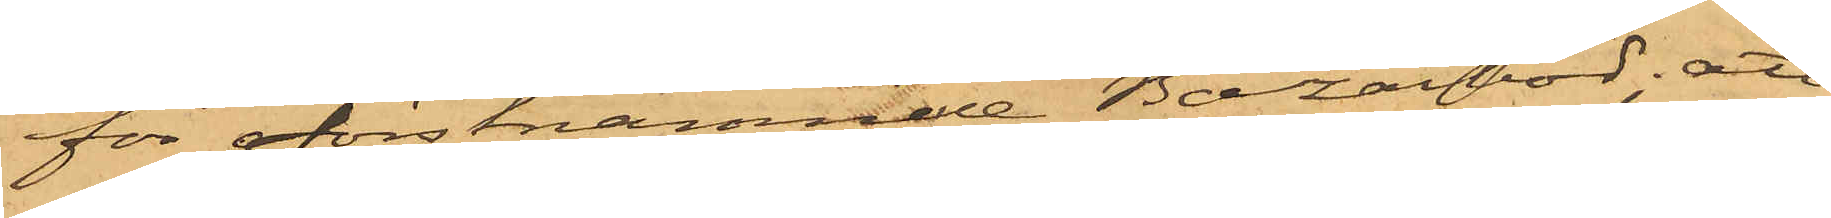för förstnämnde Bazarbod; att
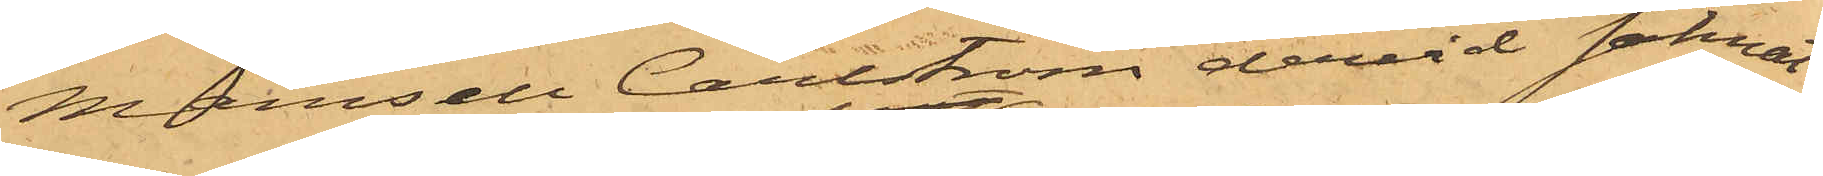Mamsell Carlström dervid saknat
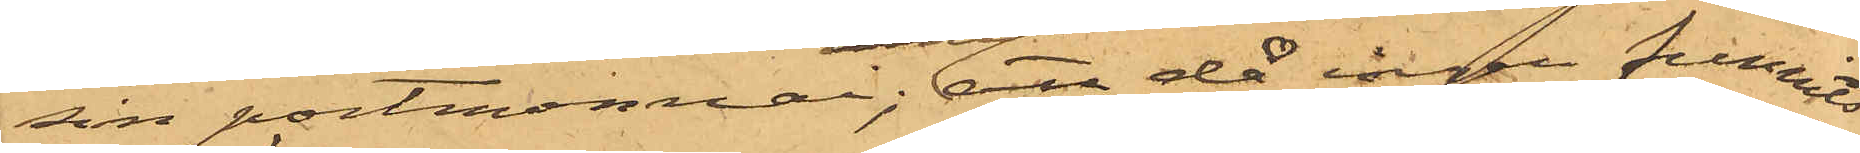sin portmonnai; att då ingen funnits
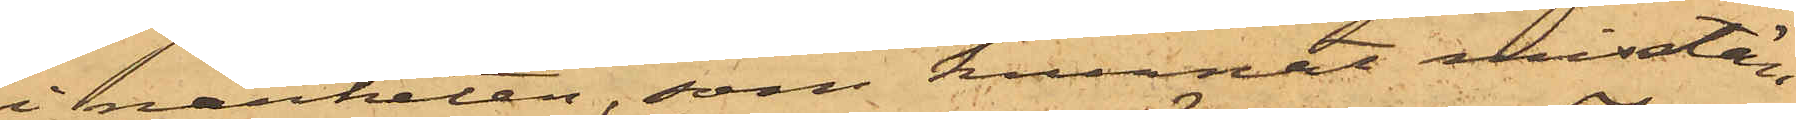i närheten, som kunnat misstän¬
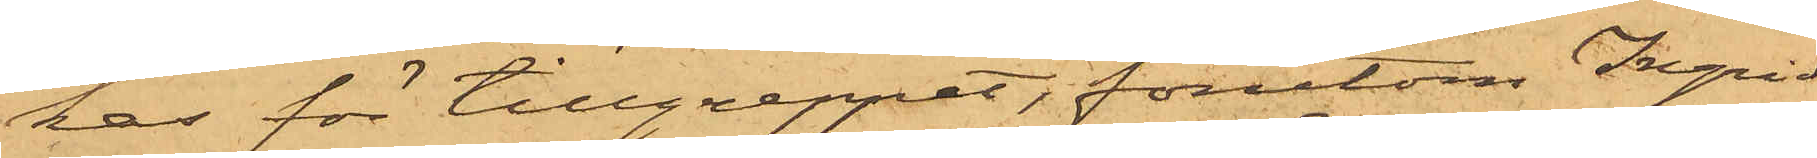kas för tillgreppet, förutom Ingrid
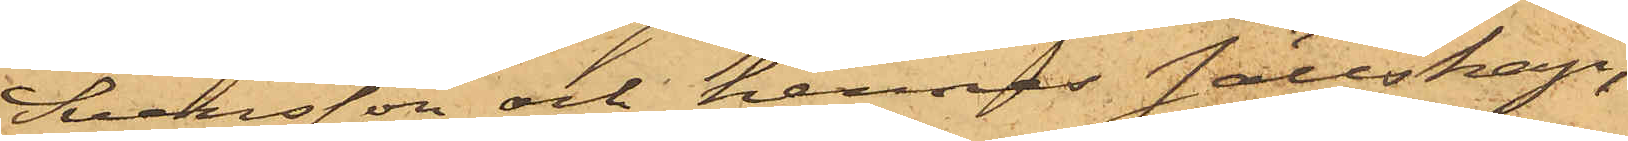Svensson och hennes sällskap,
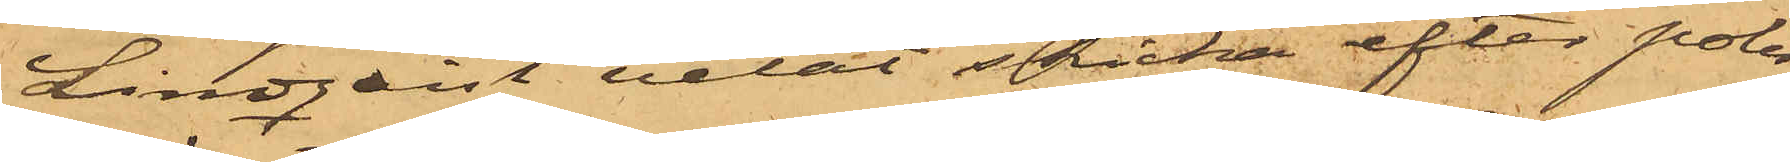Lindqvist velat skicka efter polis
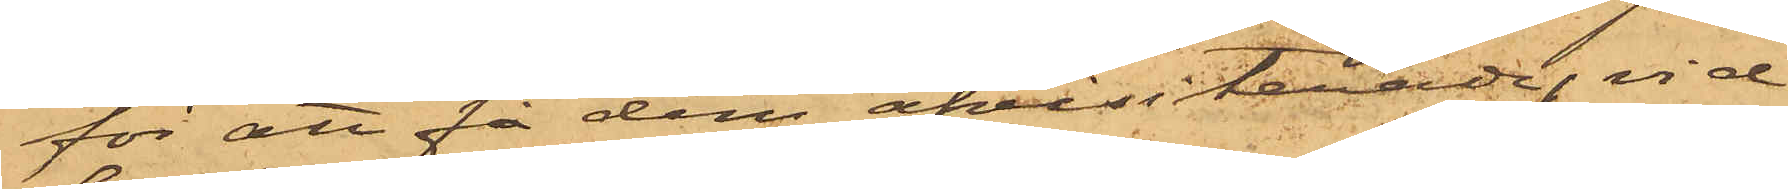för att få dem afvisiterade, vid
